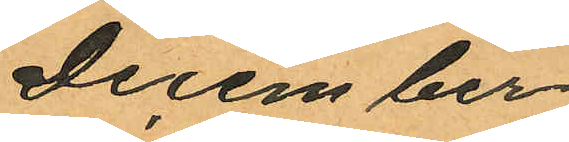December
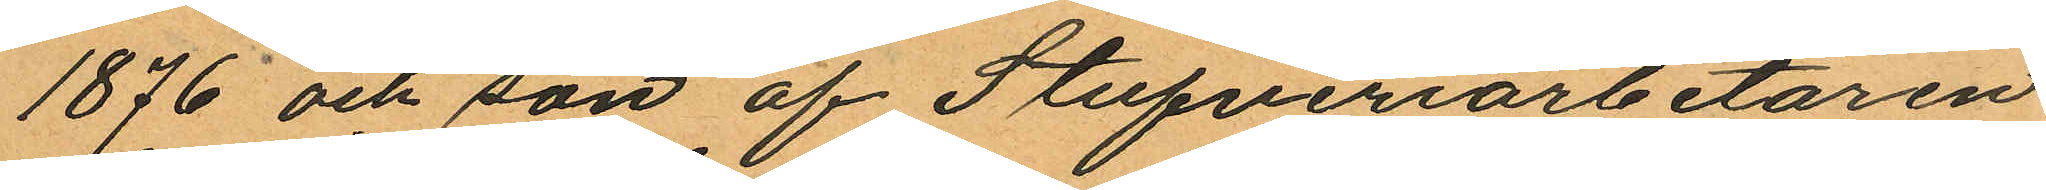1876 och son af Stufveriarbetaren
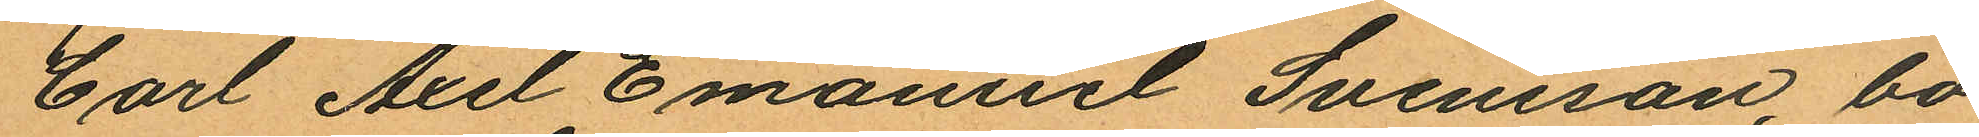Carl Axel Emanuel Svensson, bo¬
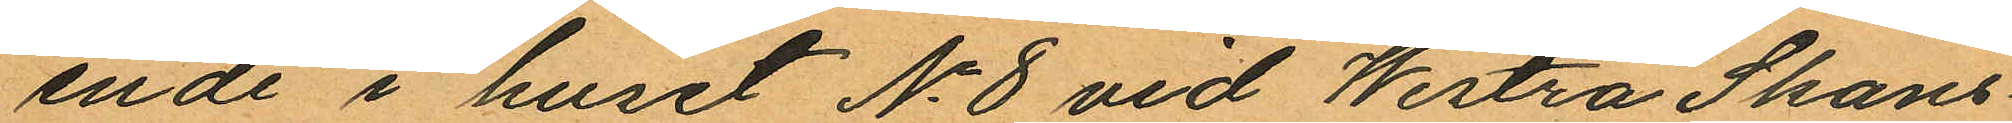ende i huset No 8 vid Westra Skans¬
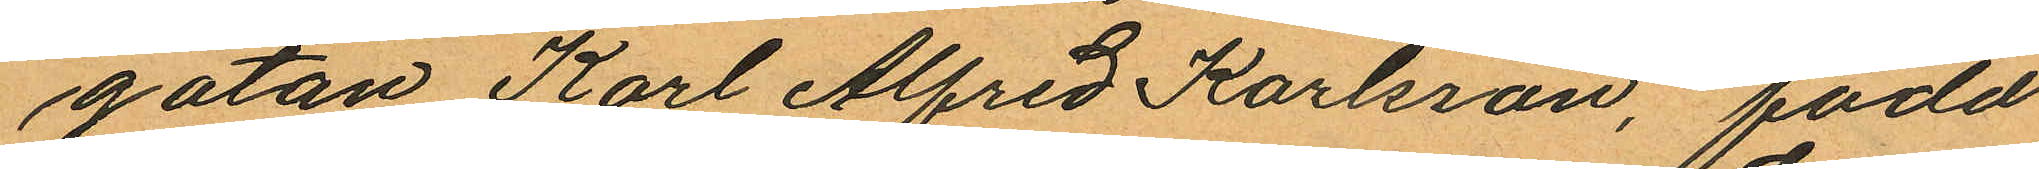gatan Karl Alfred Karlsson, född
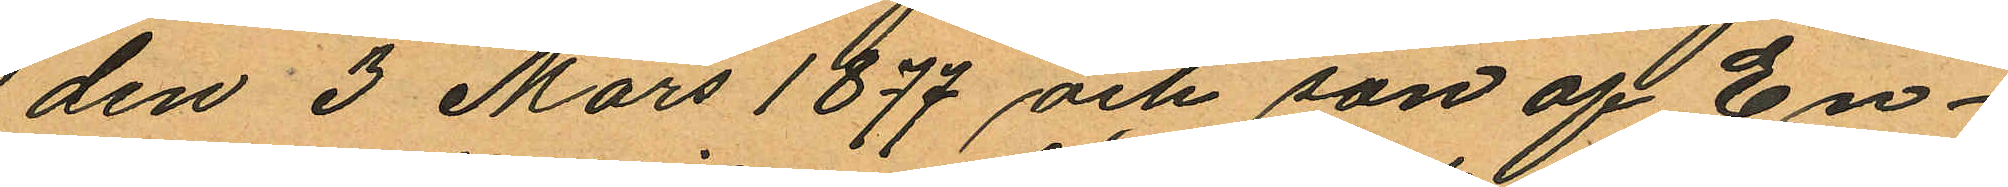den 3 Mars 1897 och son af En¬
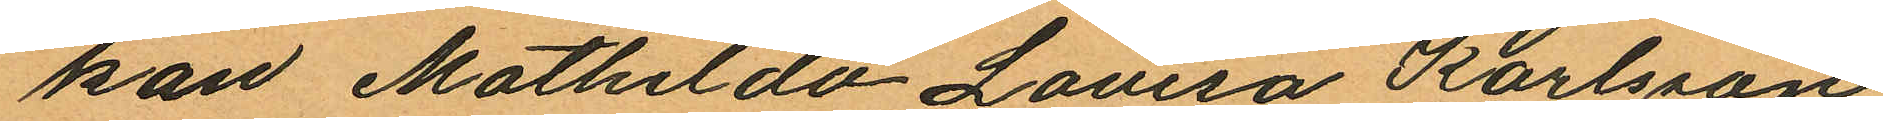kan Mathilda Lovisa Karlsson
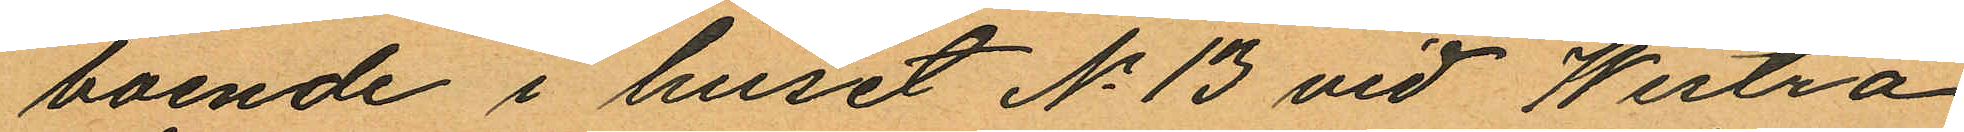boende i huset No 13 vid Westra
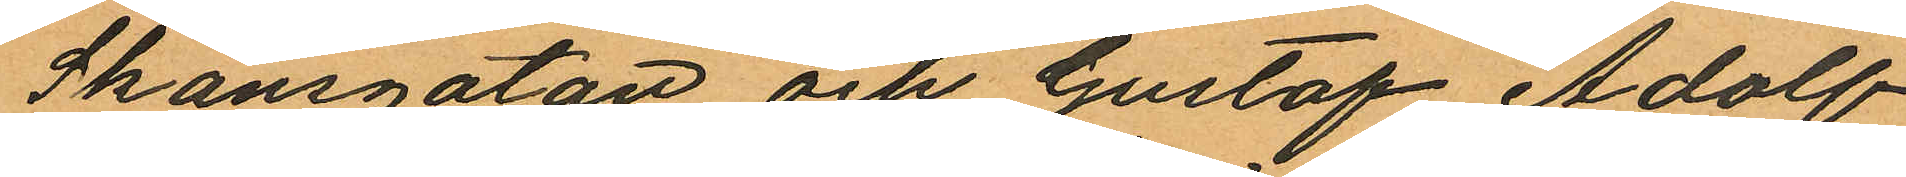Skansgatan och Gustaf Adolf
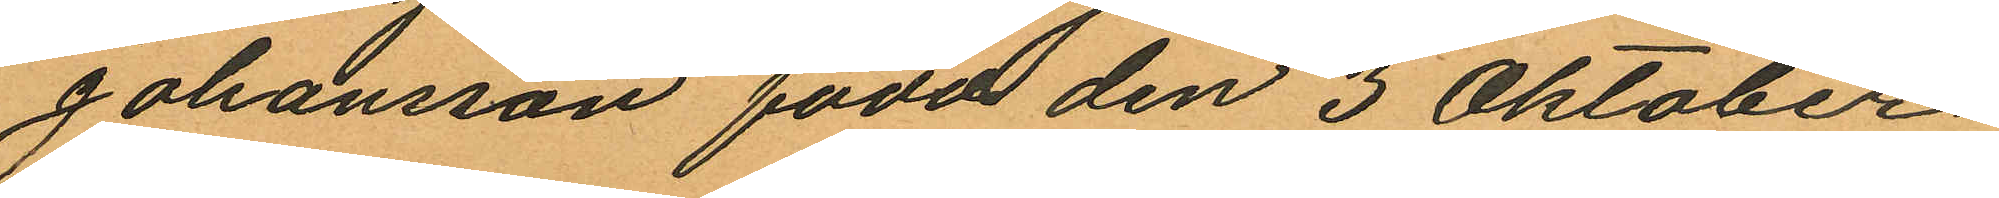Johansson född den 3 Oktober
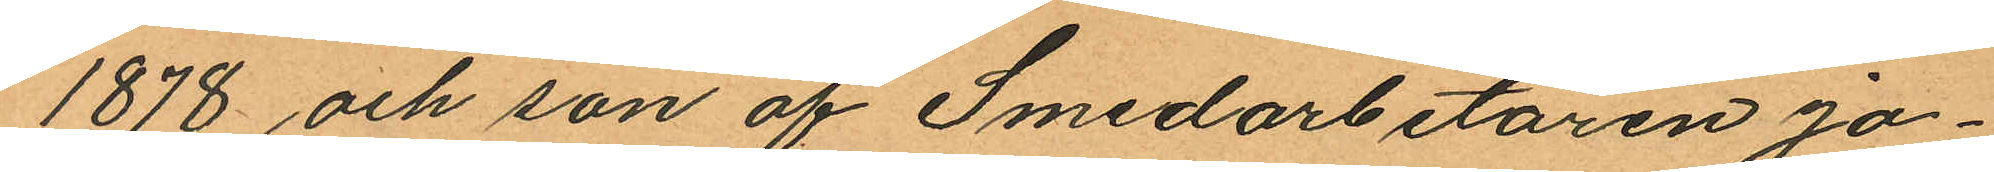1878 och son af Smedarbetaren Jo¬
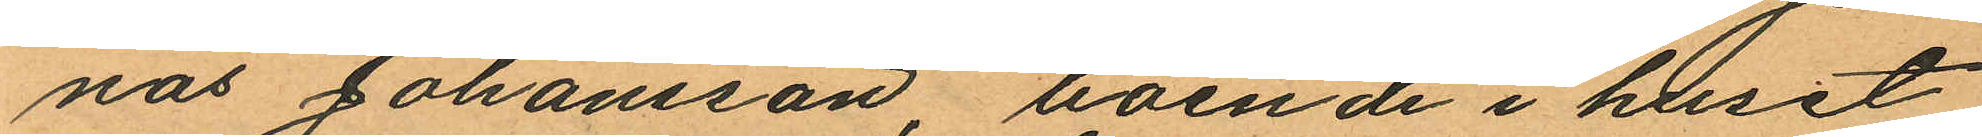nas Johansson, boende i huset
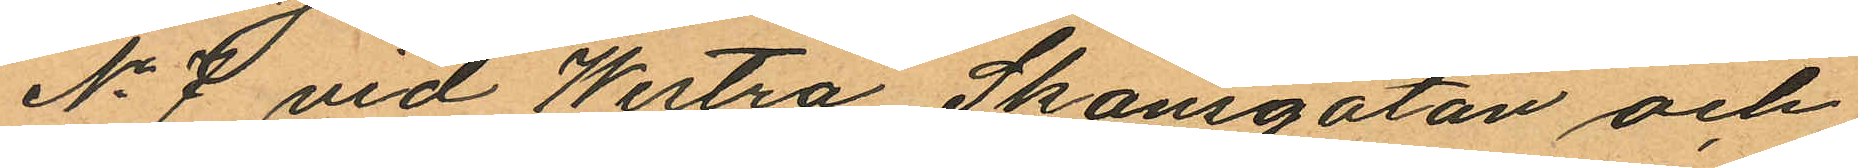No 7 vid Westra Skansgatan och
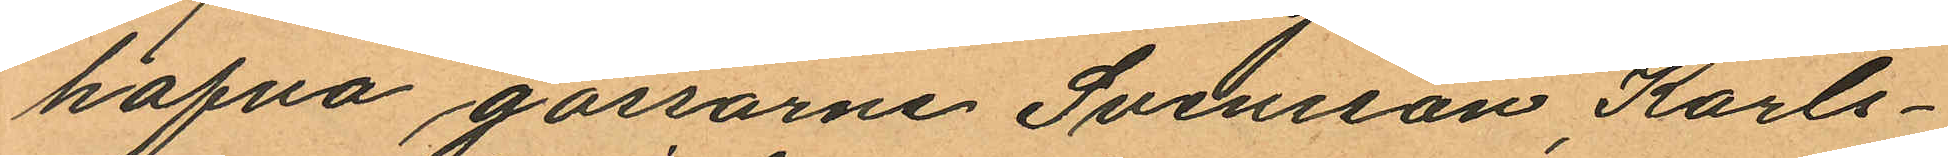hafva gossarne Svensson, Karls¬
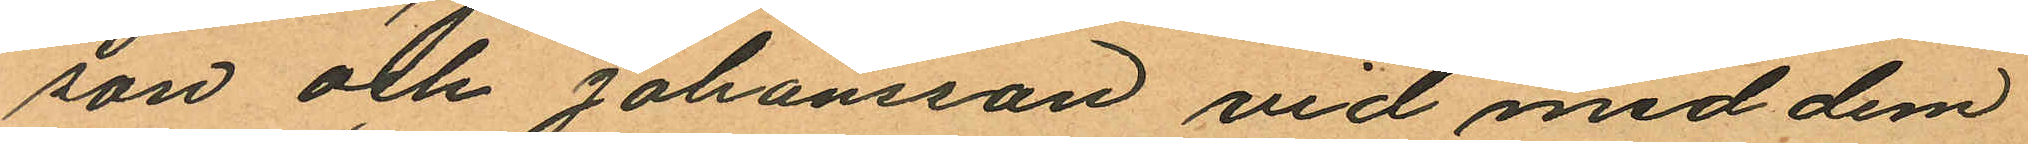son och Johansson vid med dem
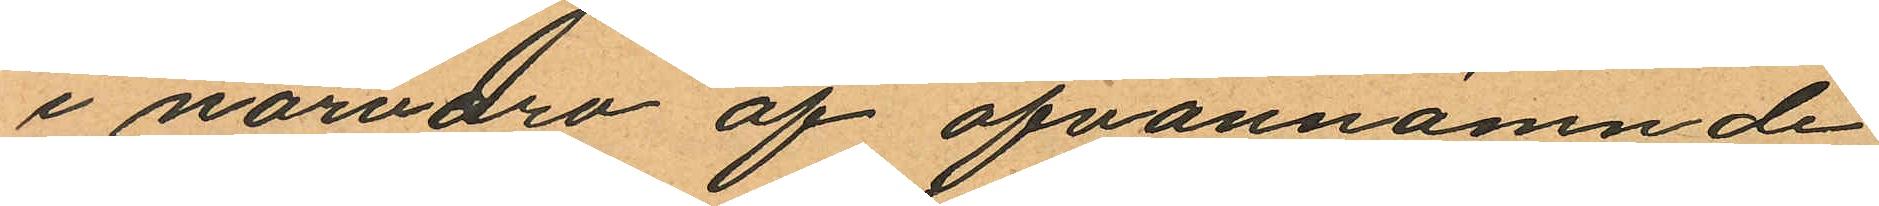i närvaro af ofvannämnde
